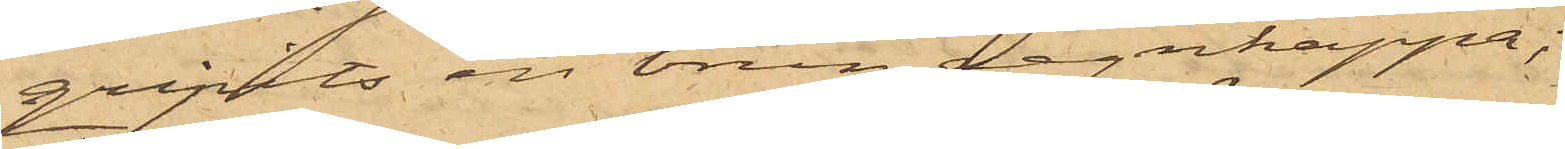gripits en brun regnkappa;
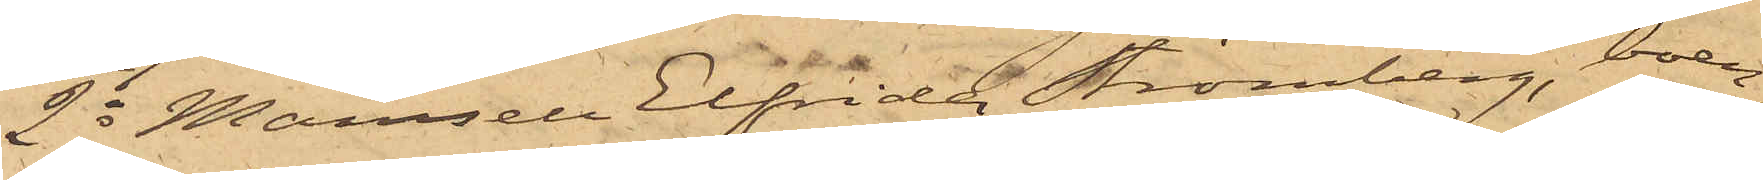2o Mamsell Elfrida Strömberg, boen¬
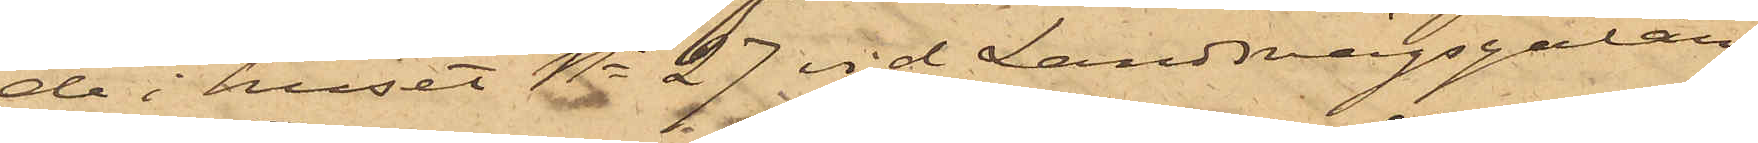de i huset No 27 vid Landsvägsgatan,
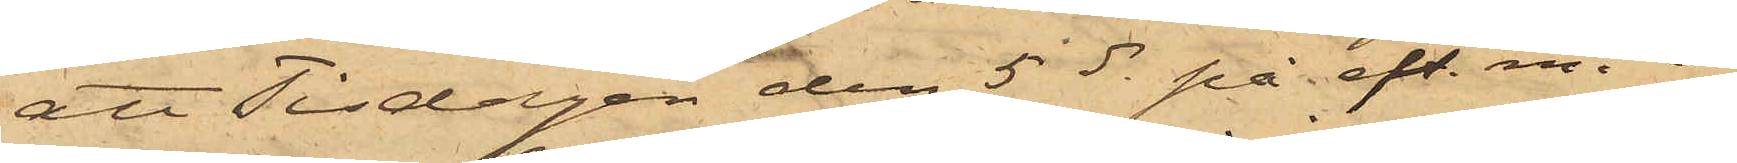att Tisdagen den 5 ds på eft. m. i
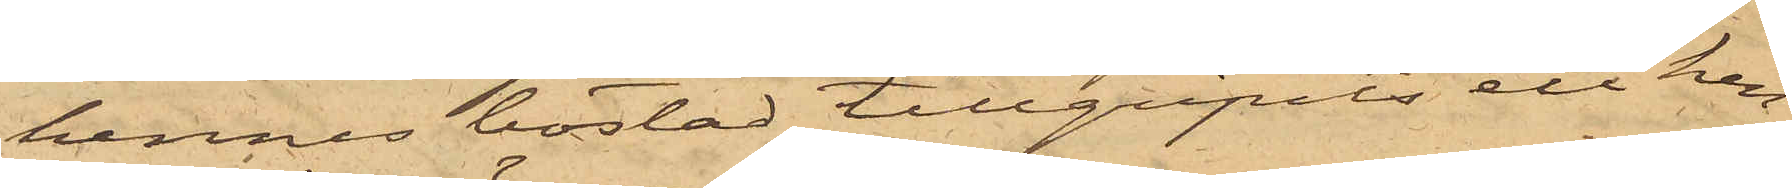hennes bostad tillgripits ett hen¬
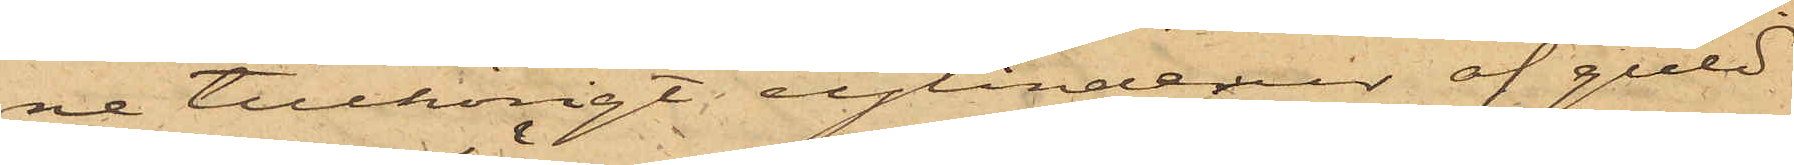ne tillhörigt cylinderur af guld
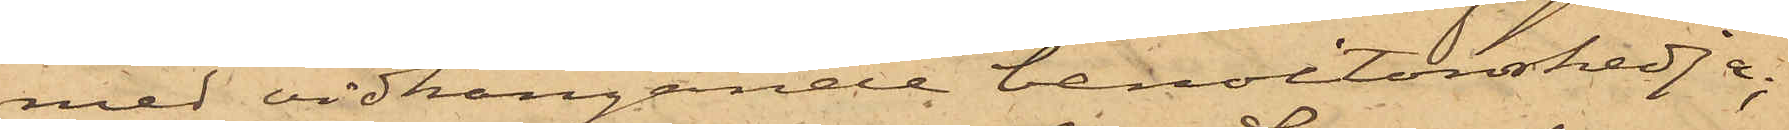med vidhängande benoitonskedja;
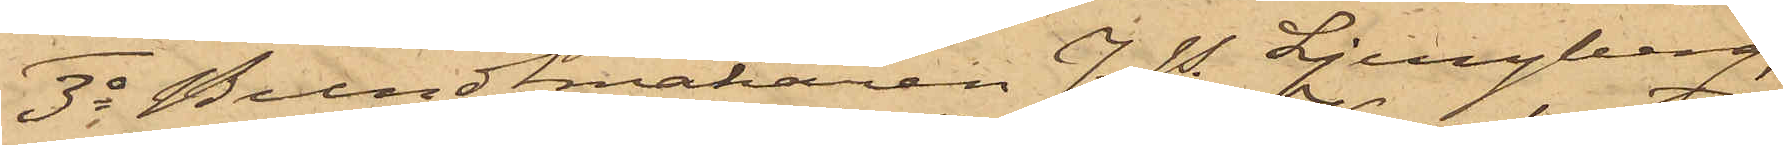3o Bundtmakaren J. P. Ljungberg,
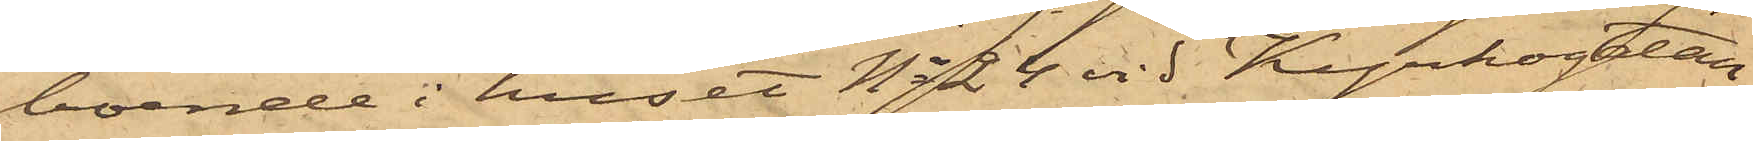boende i huset No 24 vid Kyrkogatan,
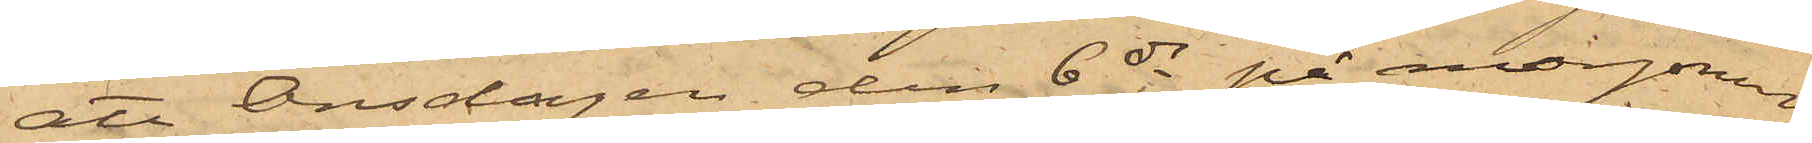att Onsdagen den 6 ds på morgonen
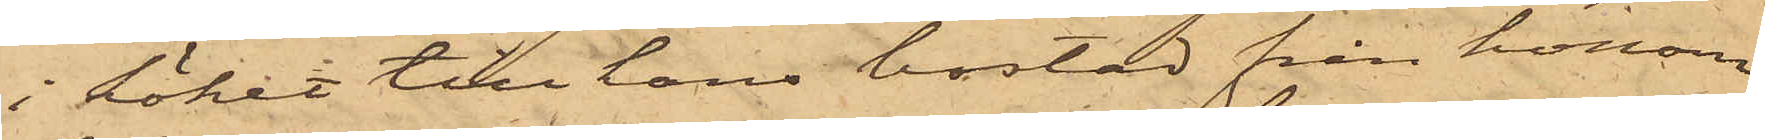i köket till hans bostad från honom
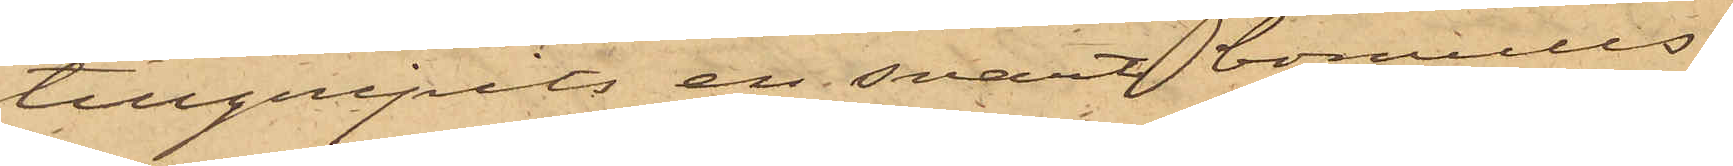tillgripits en svart bomulls¬
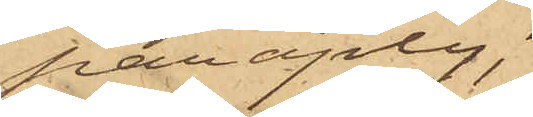paraply;
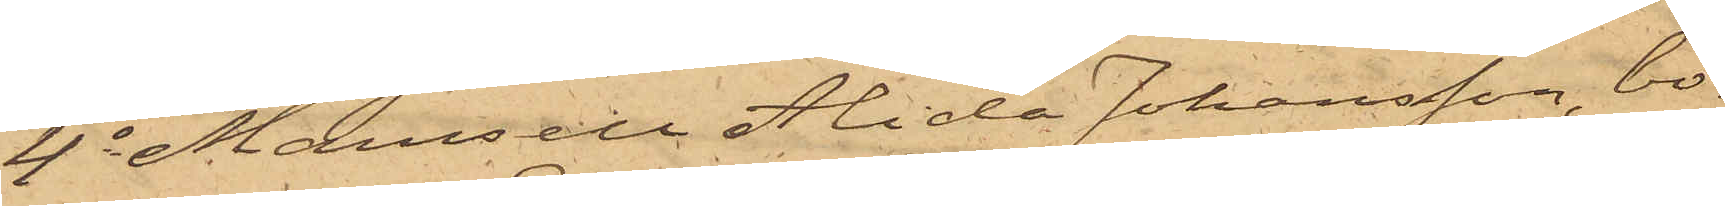4o Mamsell Alida Johansson, bo¬
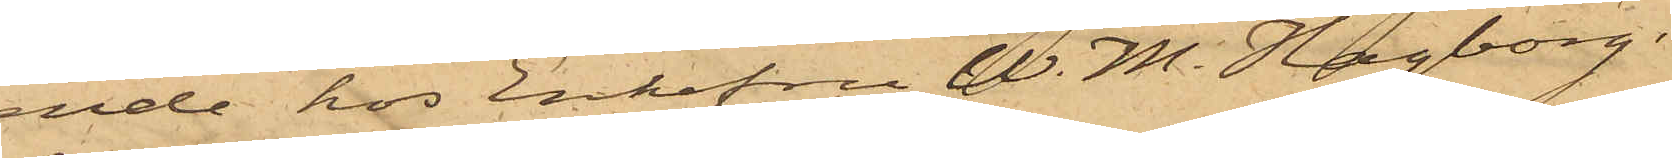ende hos Enkefru W. M. Hagborg i
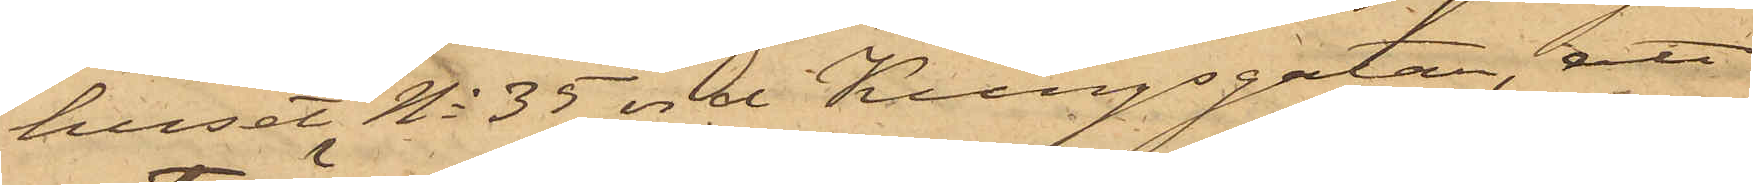huset No 35 vid Kungsgatan, att
